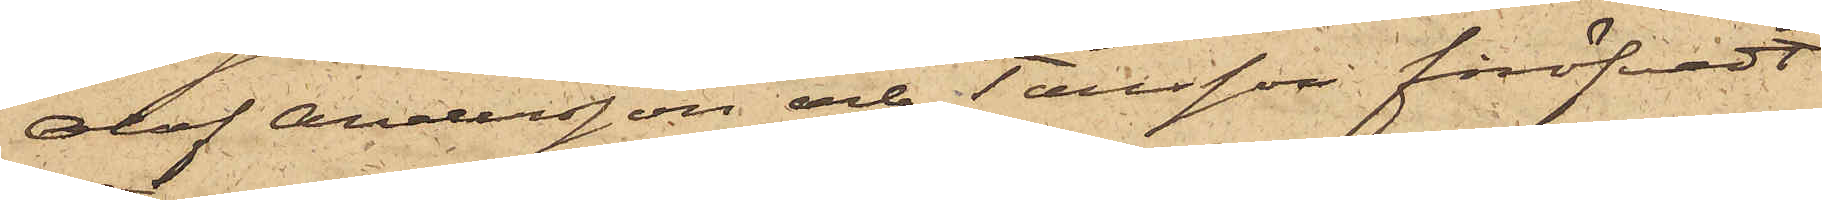Olof Andersson och Tausson föröfvadt
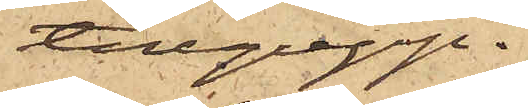tillgrepp.
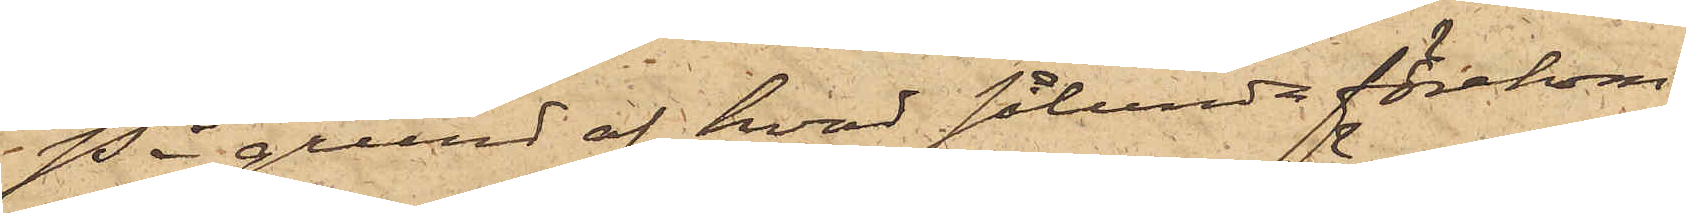På grund af hvad sålunda förekom¬
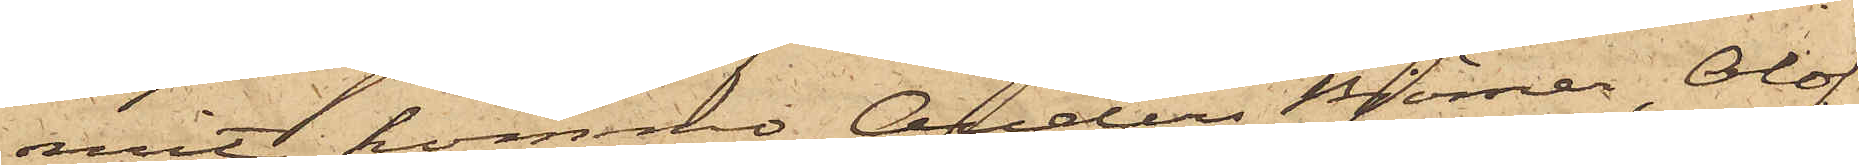mit, kommer Anders Björner, Olof
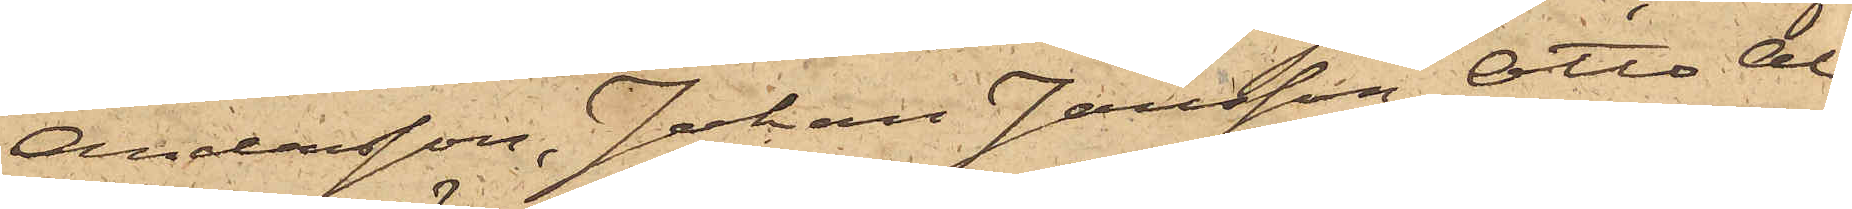Andersson, Johan Jansson, Otto Al¬
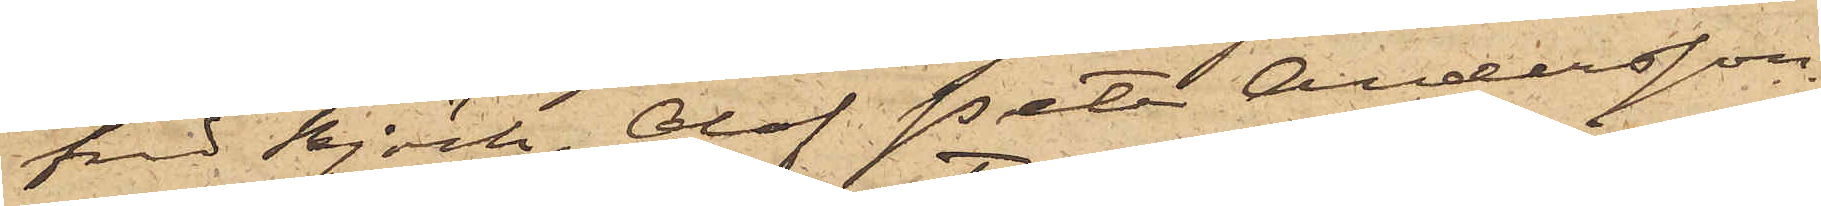fred Björk, Olof Peter Andersson
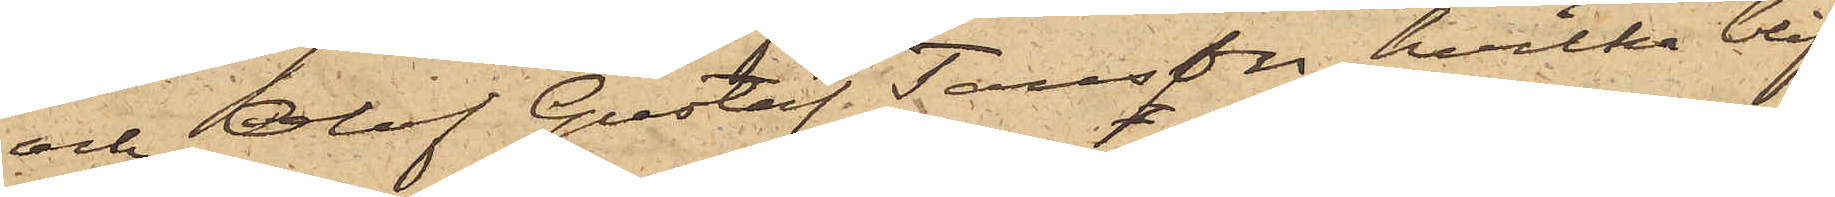och Olof Gustaf Tausson, hvilka blif¬
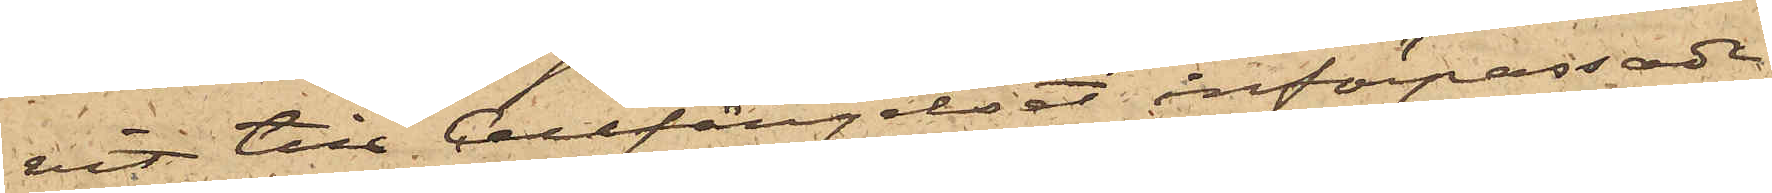vit till Cellfängelset införpassade.
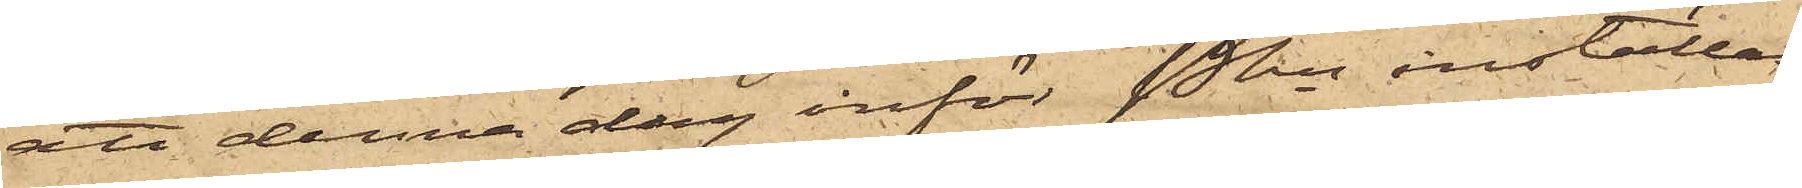att denna dag inför Pkn inställas,
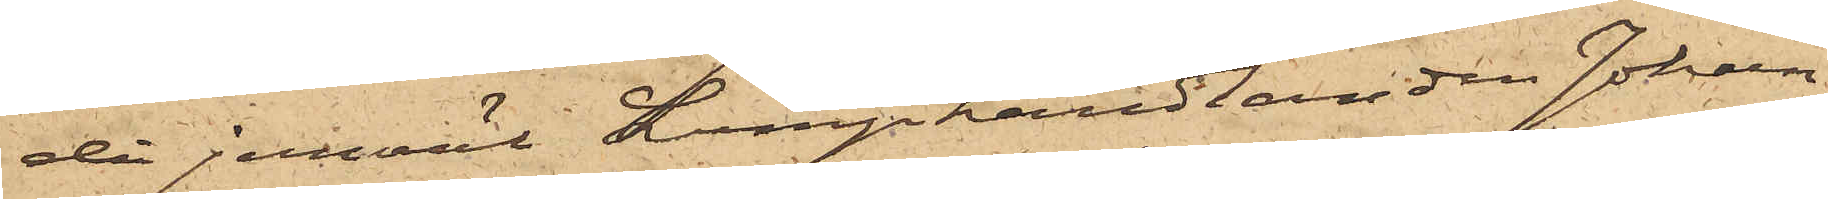då jemväl Lumphandlanden Johan¬
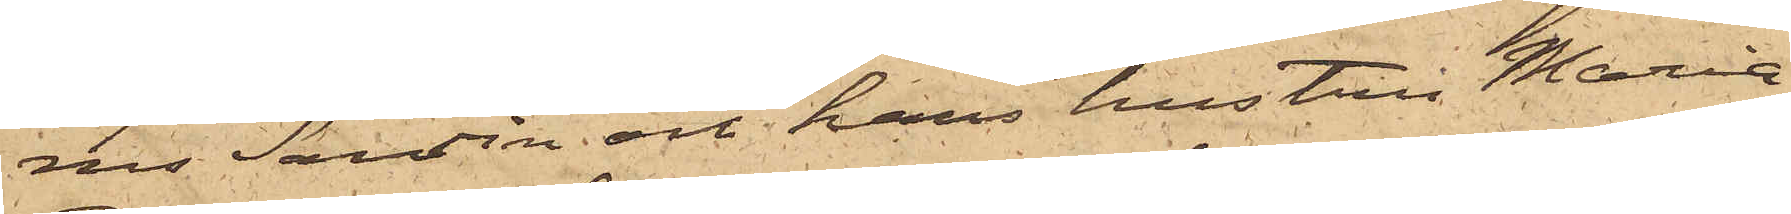nes Sandin och hans hustru Maria
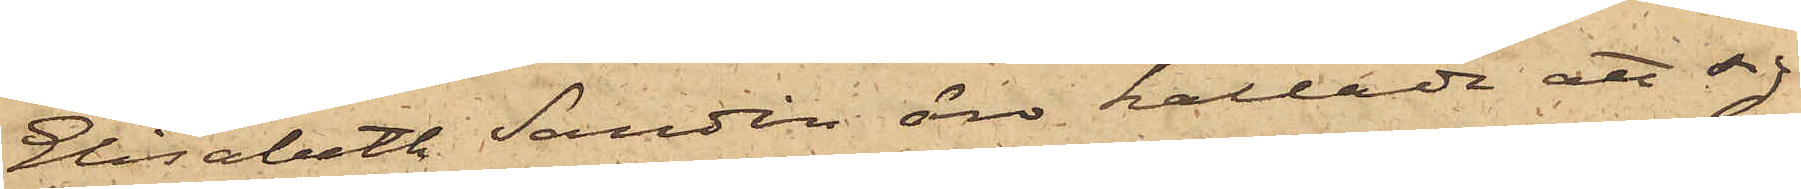Elisabeth Sandin äro kallade att sig
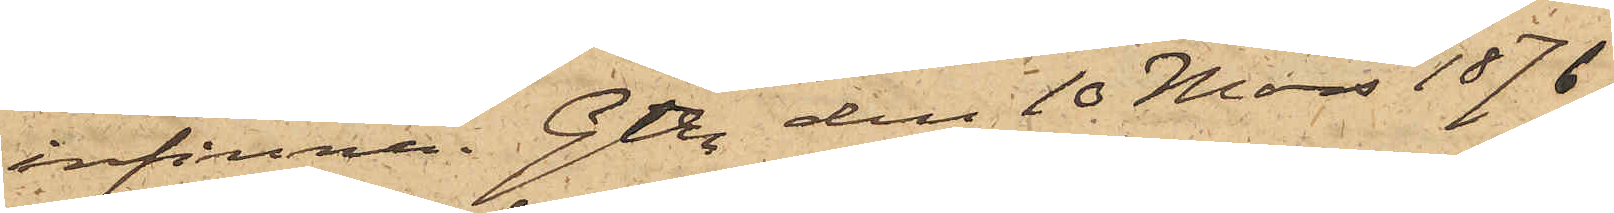infinna. Gtbg den 10 Mars 1876
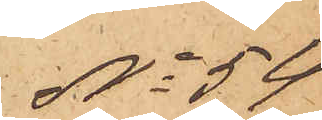No 54
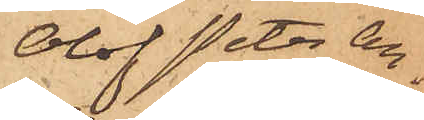Olof Peter An¬
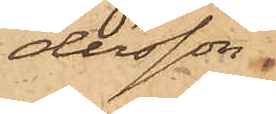dersson
